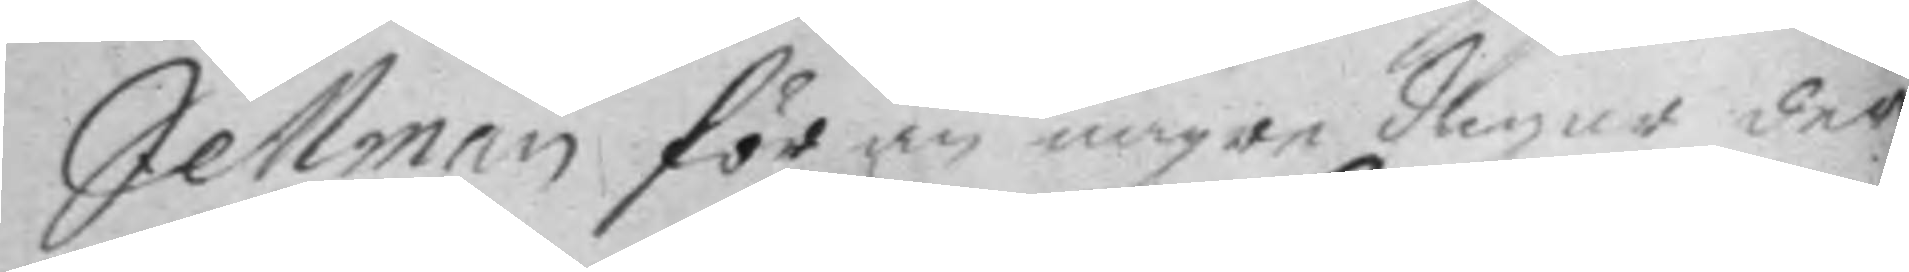Settman för än någre dagar der
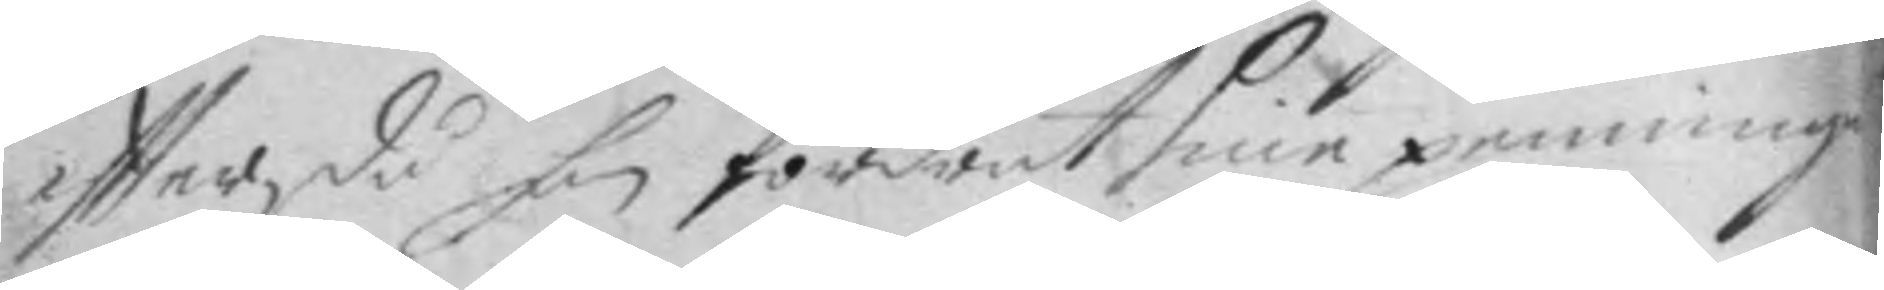eftter, då han fordrat sine penninga
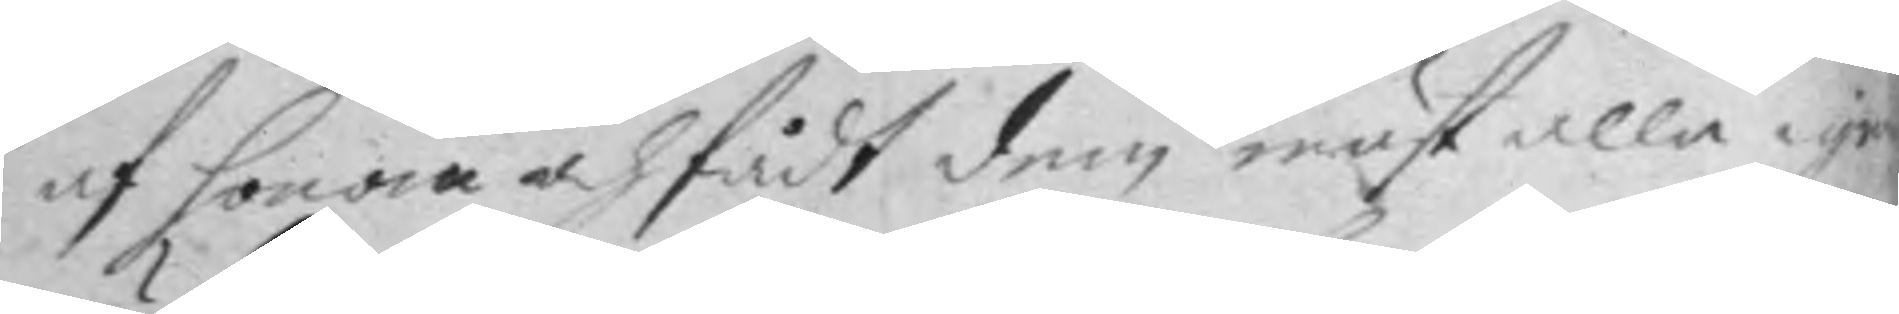af honom och fådt dem mäst alla igen
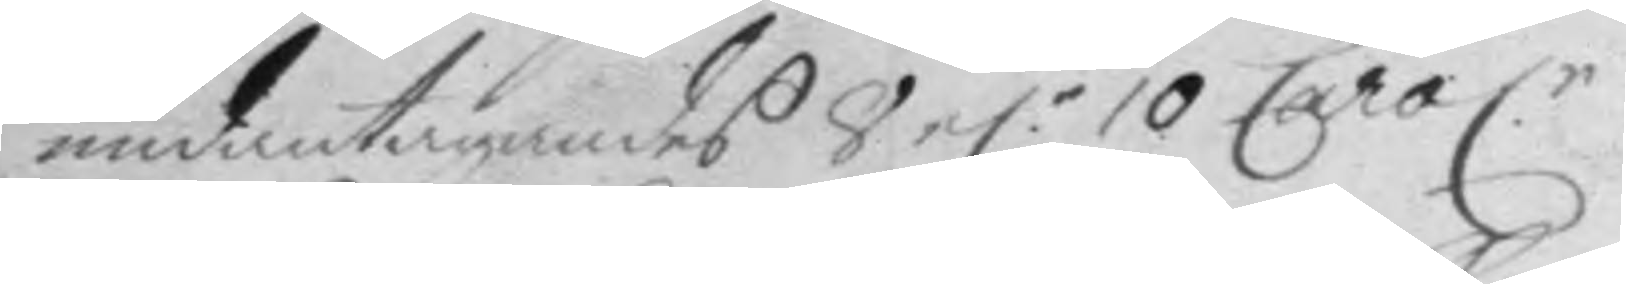undantagandes 8 e.r 10 Carol.r
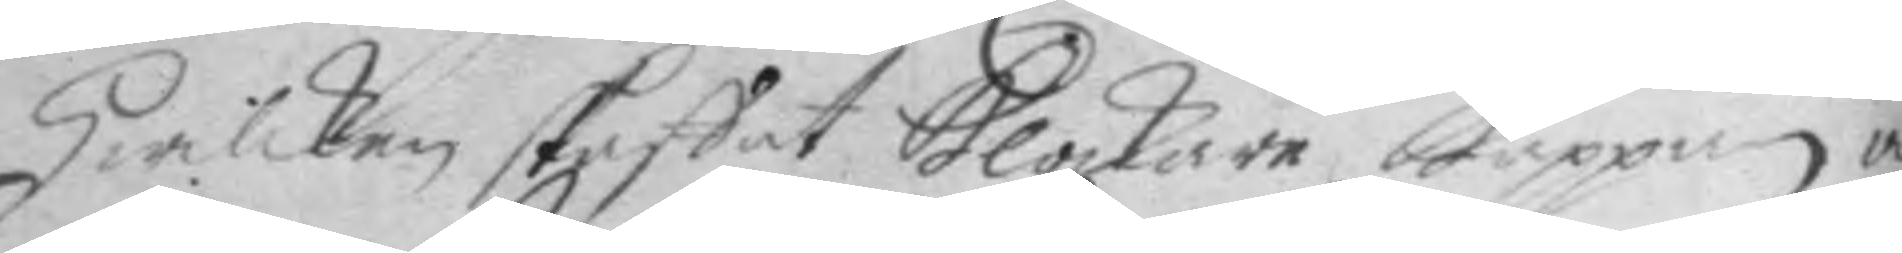hwilken skaffat klockare kappan och
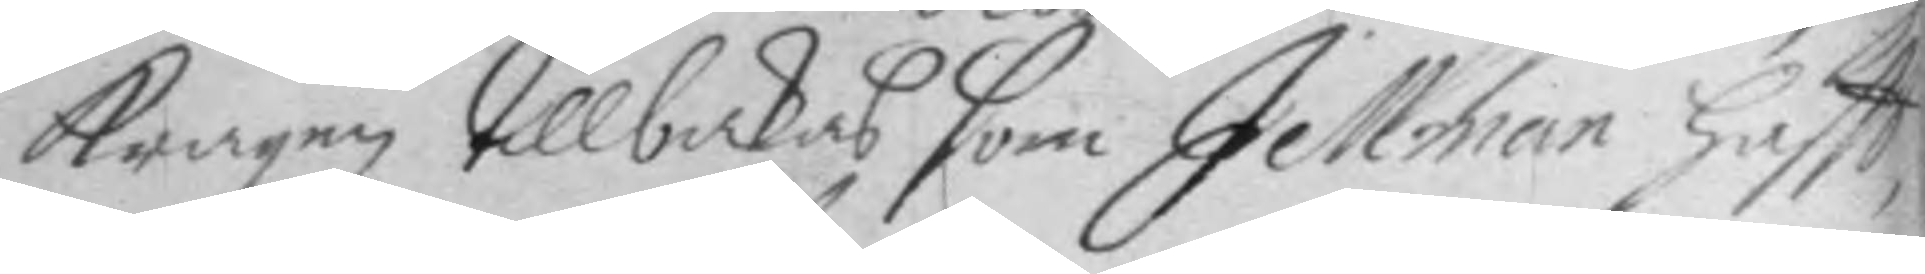kragen tillbakas som Jellman haftt,
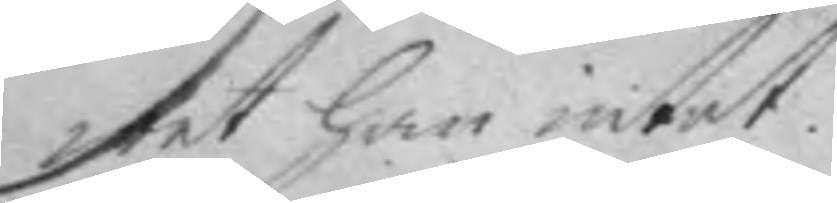wet han intet.
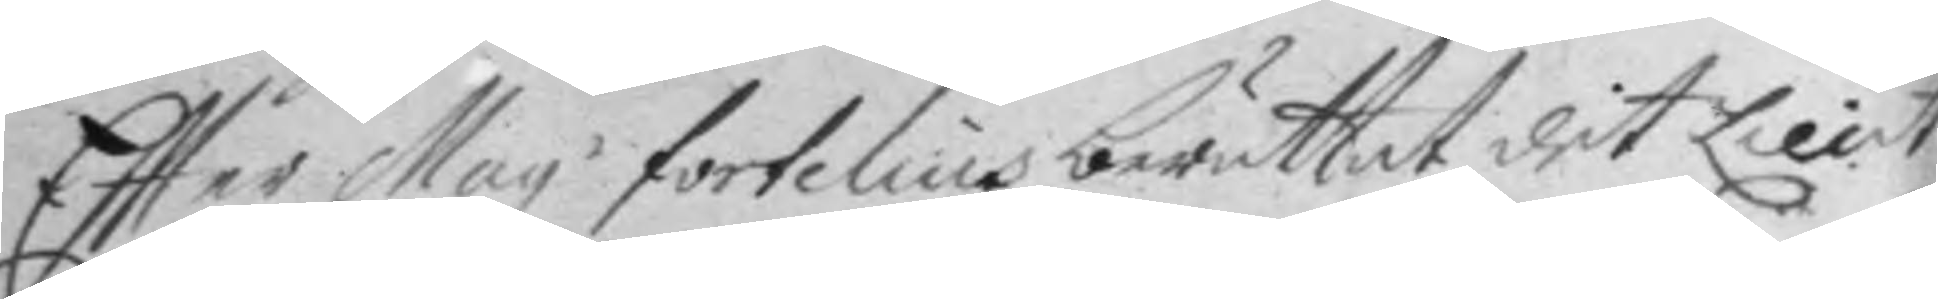Eftter Mag. fortelius berättat det Lieut.
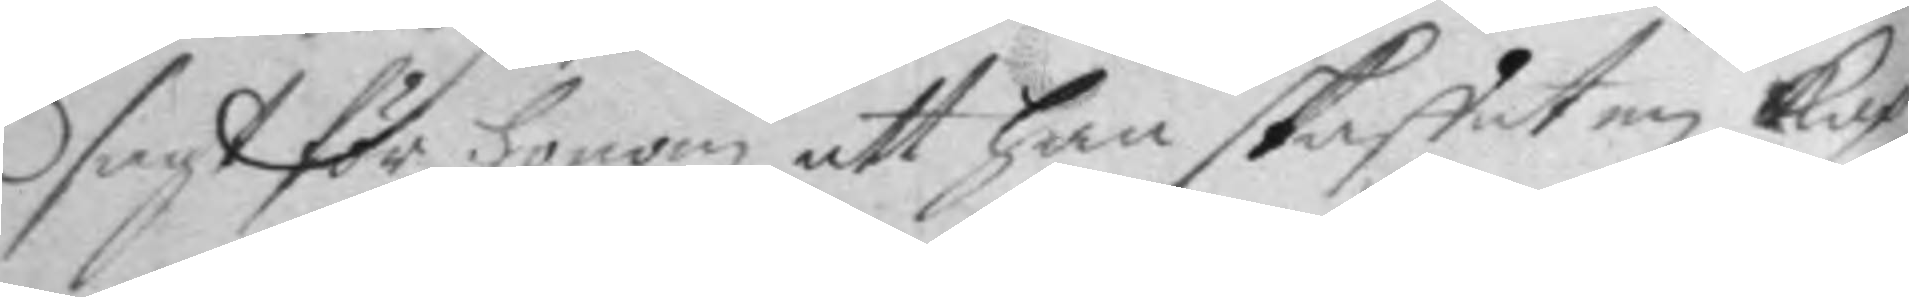sagt för honom att han skaffat kap¬
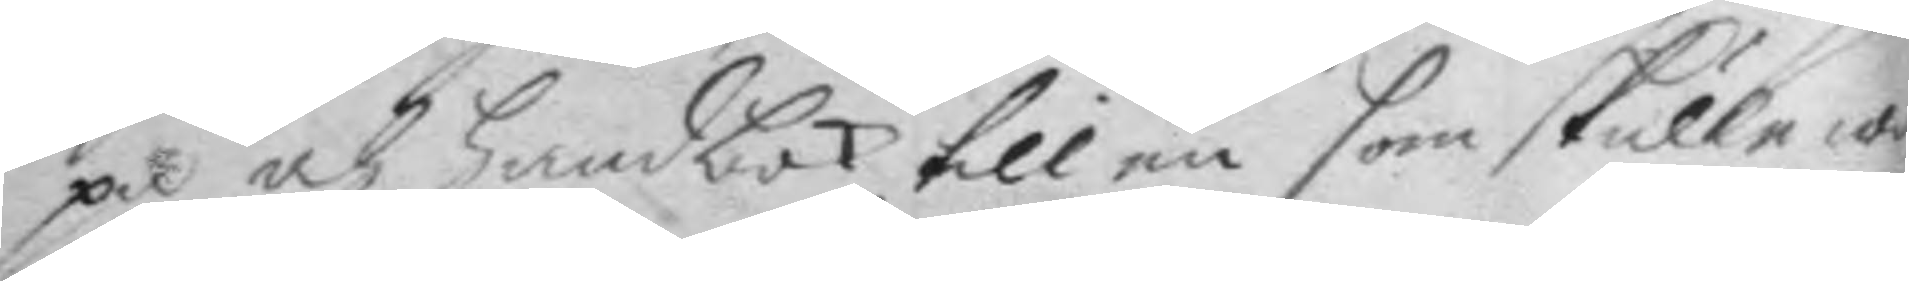pa och handbok till en som skulle wa¬
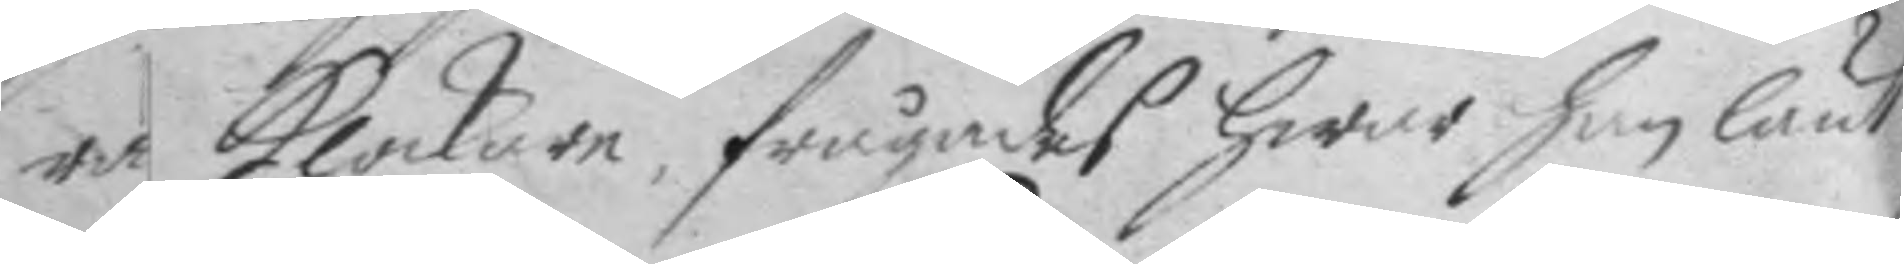ra klockare, frågandes hwar han lånt
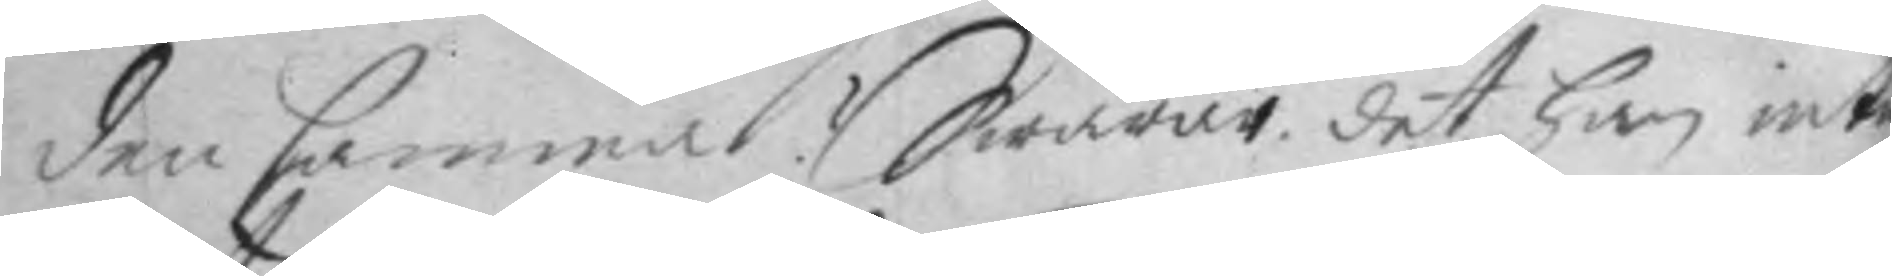den samma? Swarade det han intet
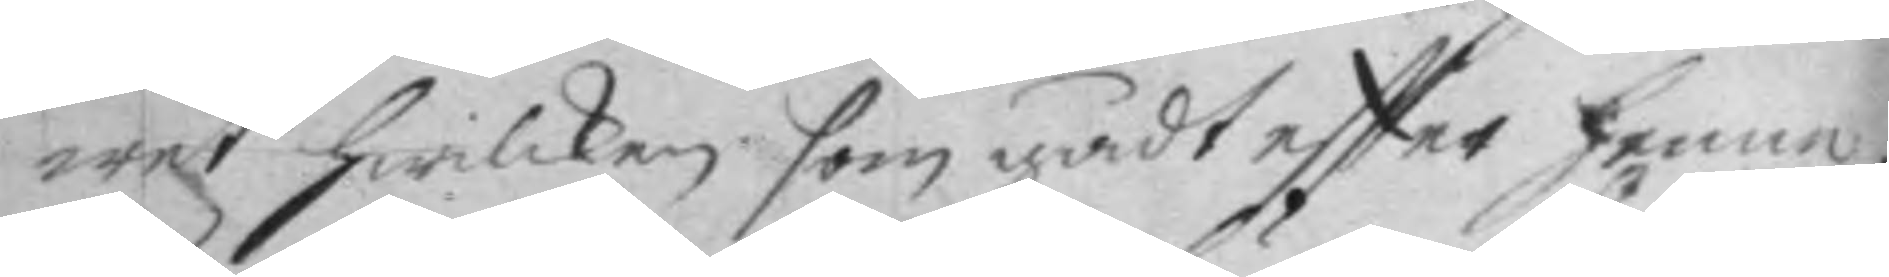wet hwilken som gådt eftter henne;
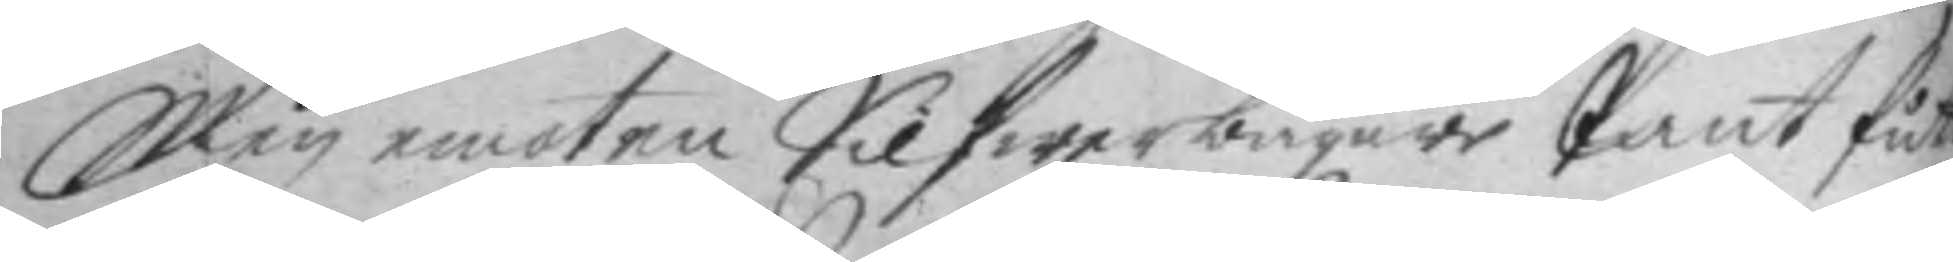Men emot en Silfwerbägare Pant fådt
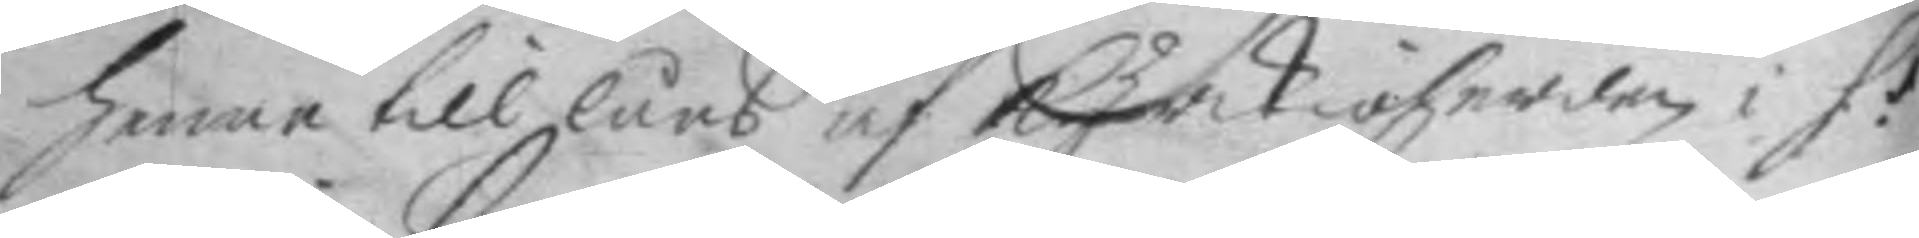henne till låns af kyrkioherden i S:t
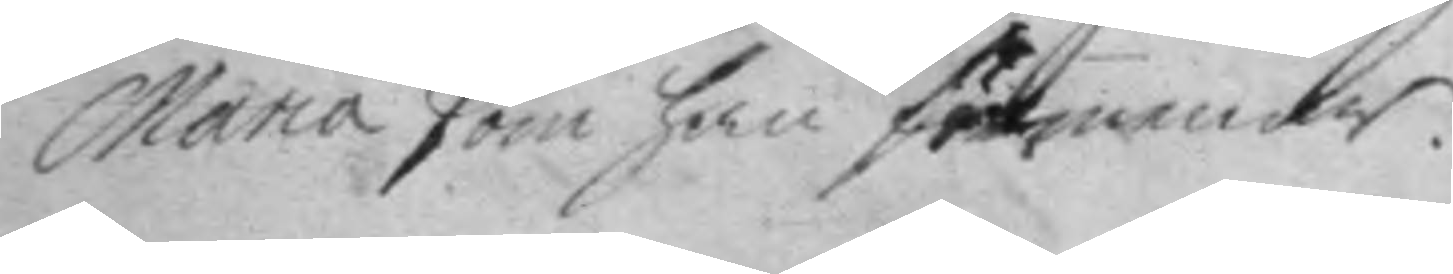Maria som han förmenar.
